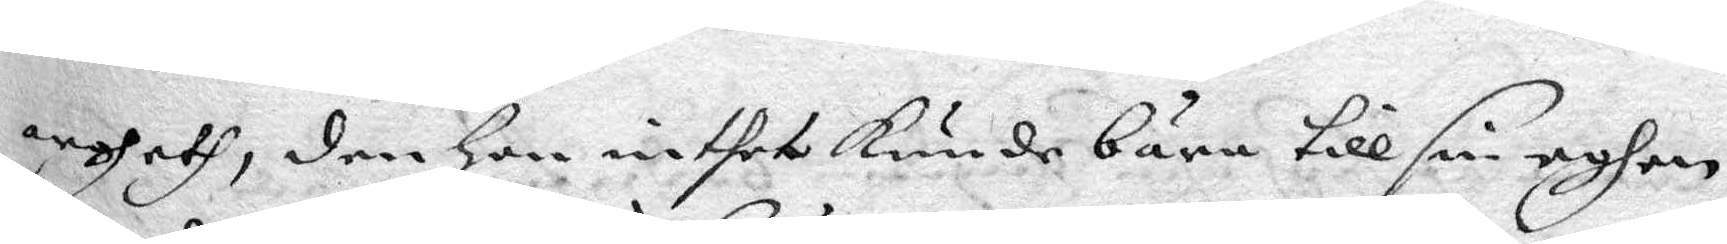argheth, den Hon intet kunde bära till sin egen
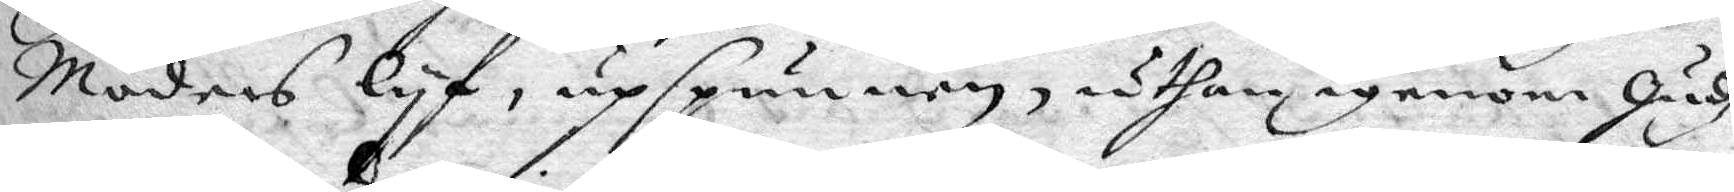Moders lyf, upspunnen, uthan igenom Gudz
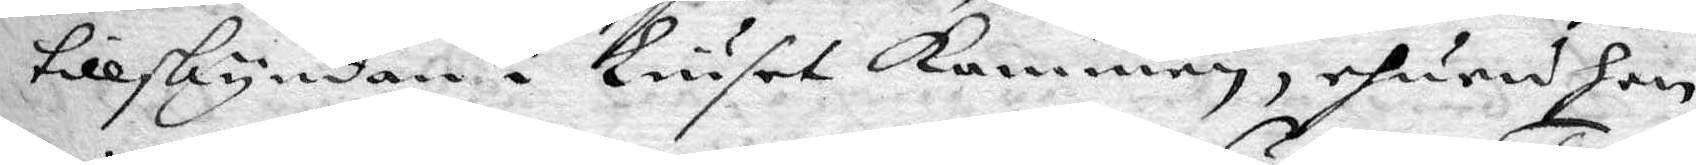tillskyndan i Liuset kommen, ehuru hon
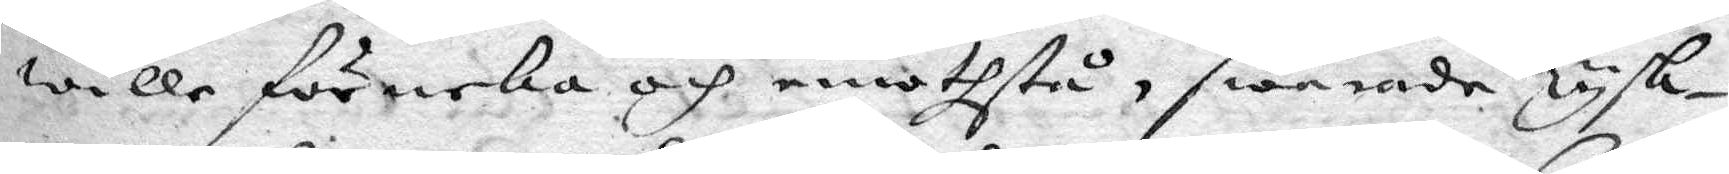wille förneka och emotstå, swarade Tysk¬
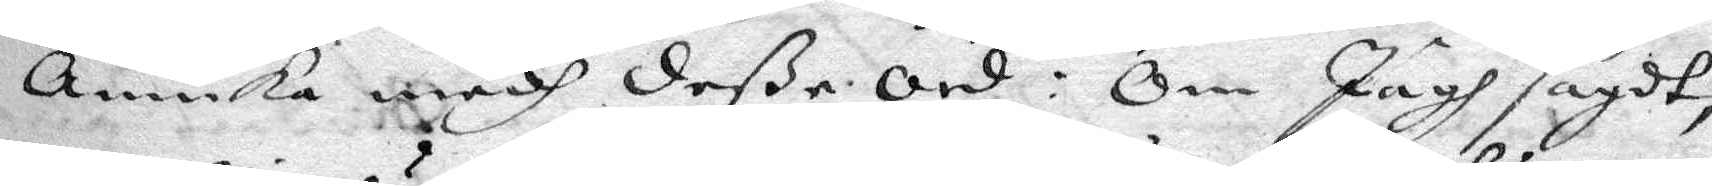annika medh deße ord: Om Jagh sagdt
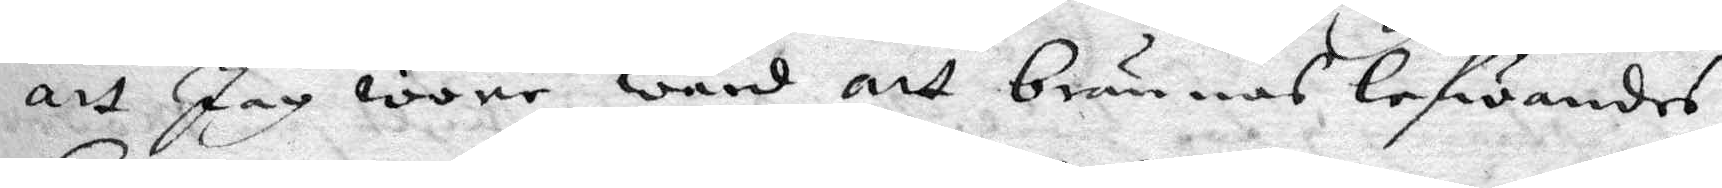att Jag wore ward att brännas lefwandes
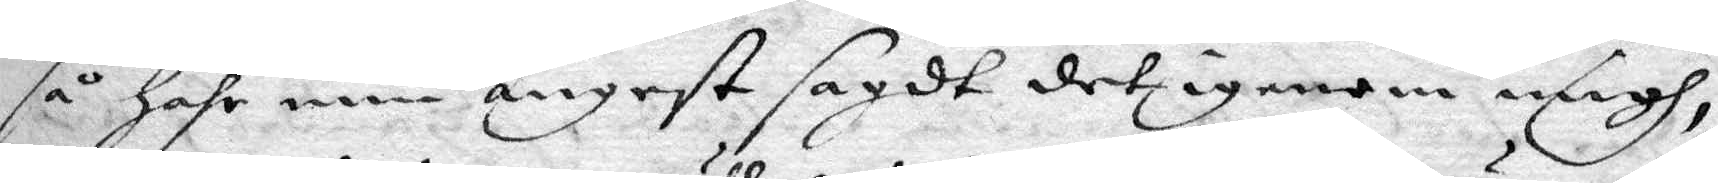så har min ångest sagdt det igenom migh,
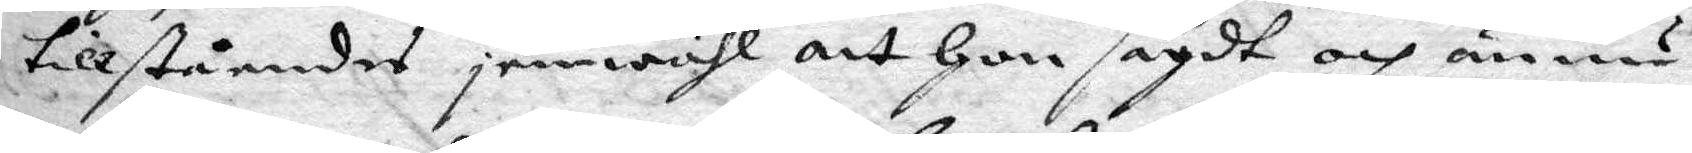tillståendes jemwähl att hon sagdt och ännu
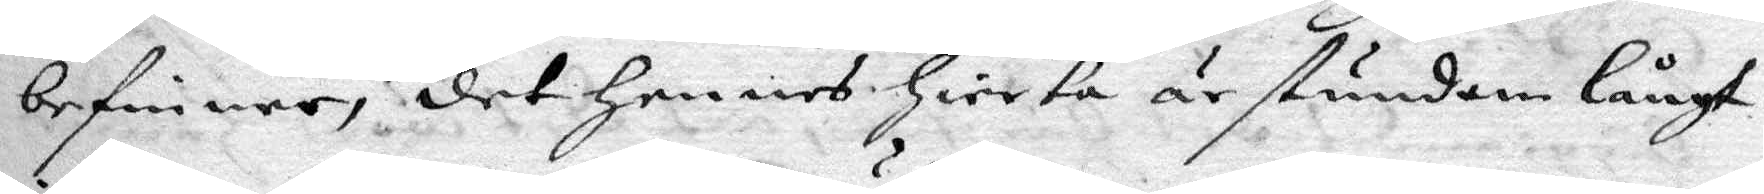befinner, det hennes Hierta är stundom långt
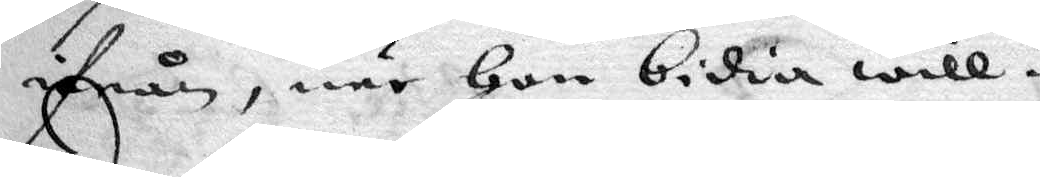ifrån, när Hon bidia will
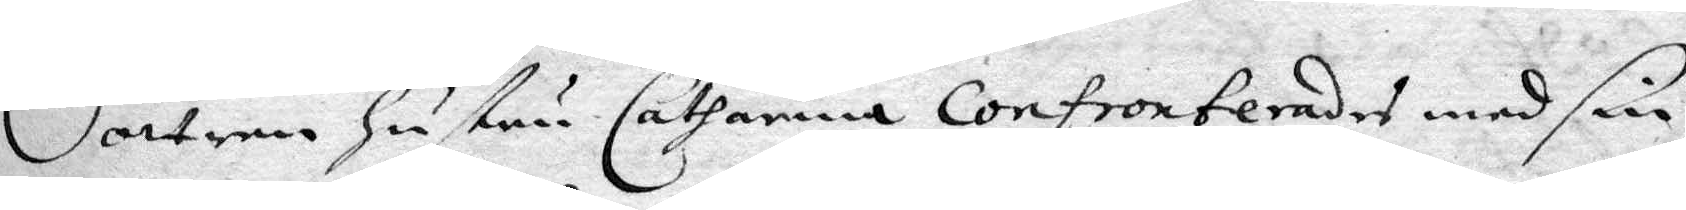Sättren hustru Catharina Confronterades med sin
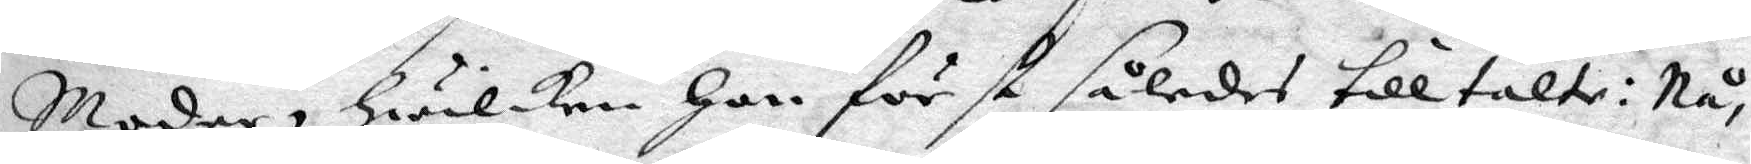Moder, Hwilken hon först således tilltalte Nå¬
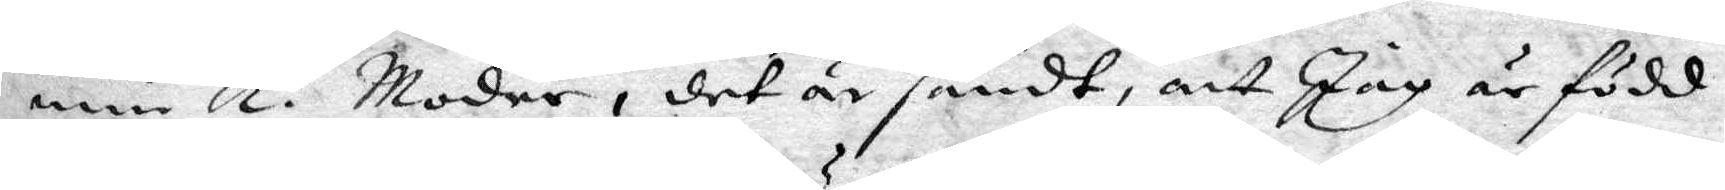min ka Moder, det är sandt, att Jag är född
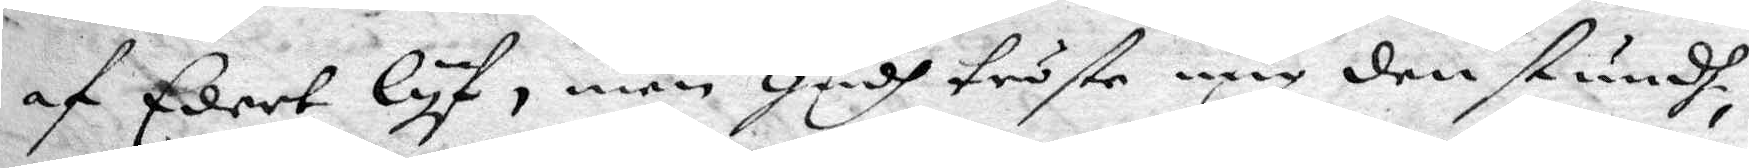af Edert lyf, men Gudh tröste mig den stundh,
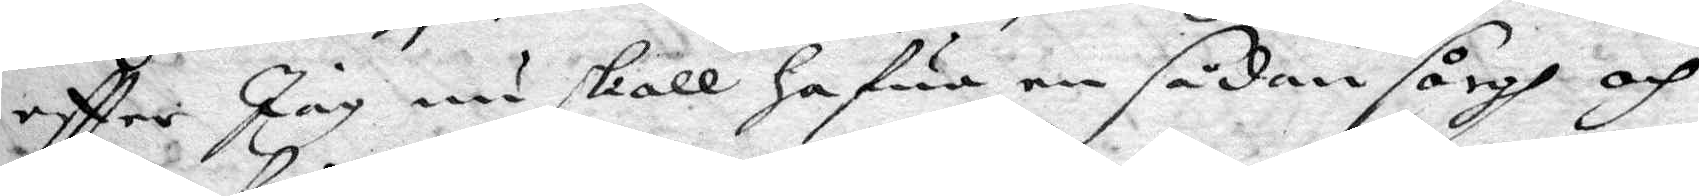eftter Jag nu skall hafwa en sådan sågh och
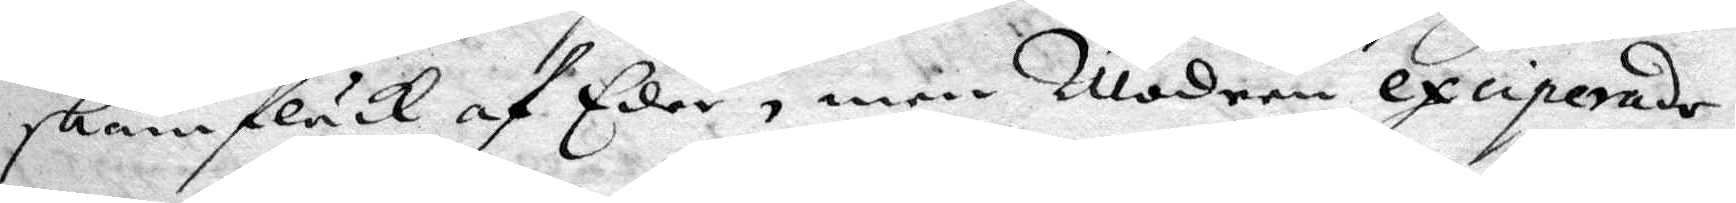skam fläck af Eder, men Modern exciperade
